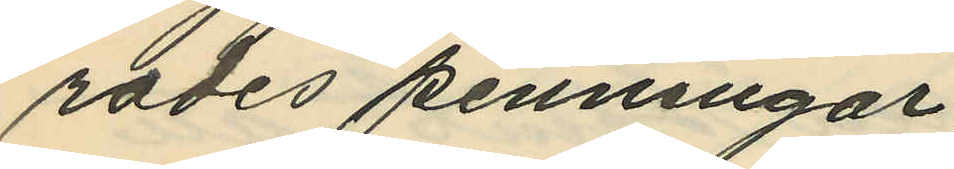rades penningar;
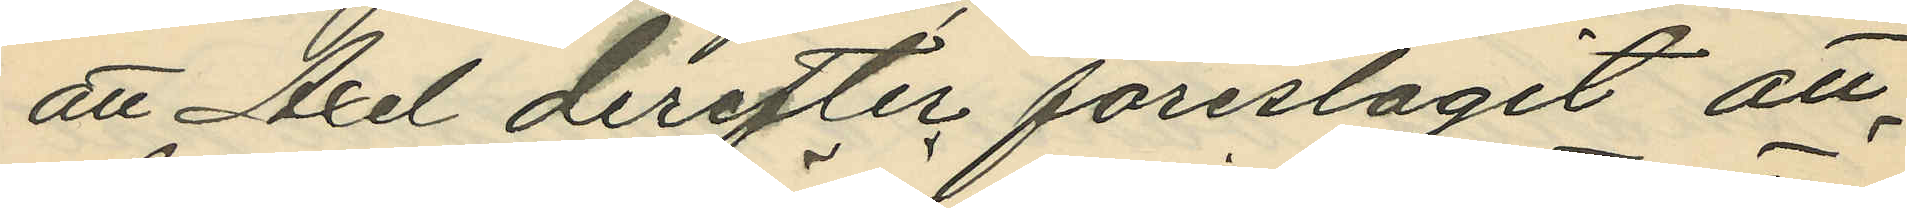att Axel derefter föreslagit att
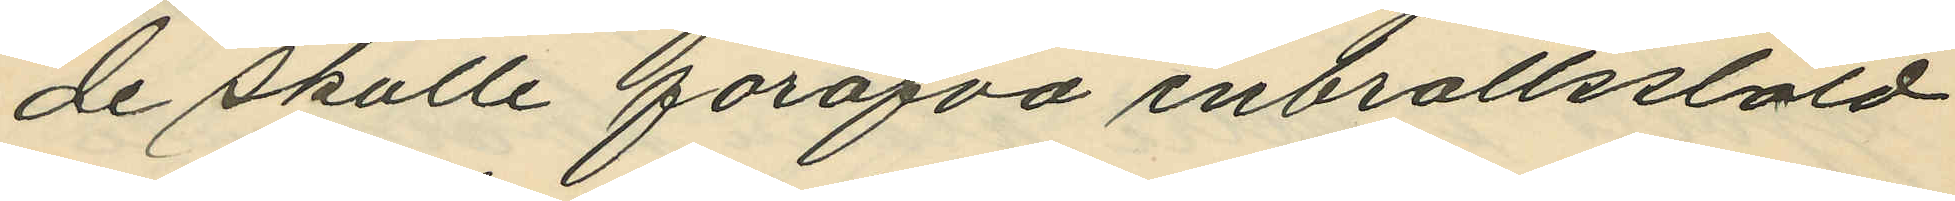de skulle föröfva inbrottsstöld
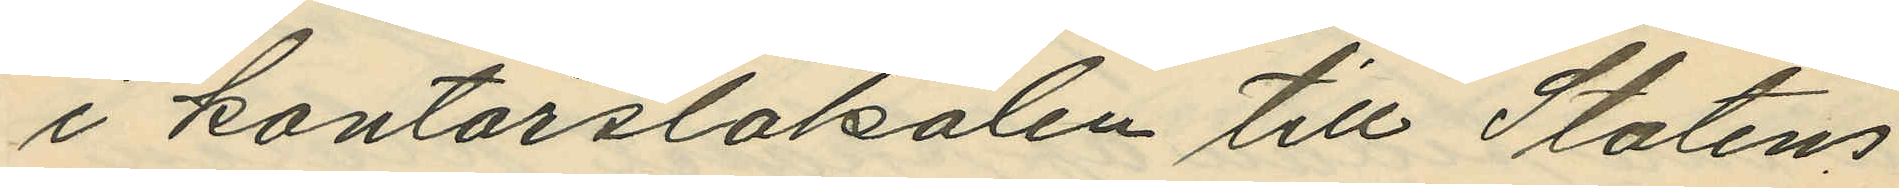i kontorslokalen till Statens
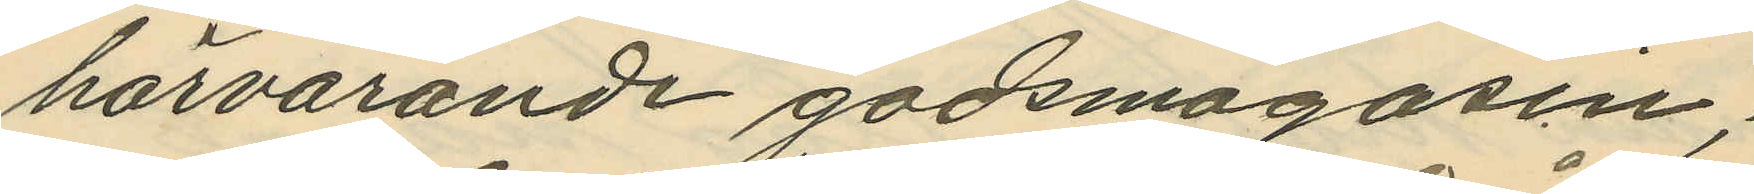härvarande godsmagasin;
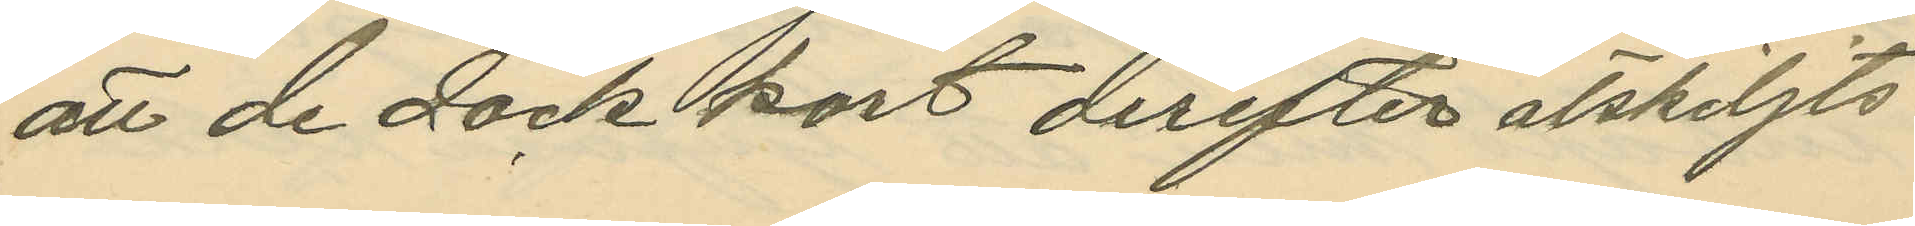att de dock kort derefter åtskiljts
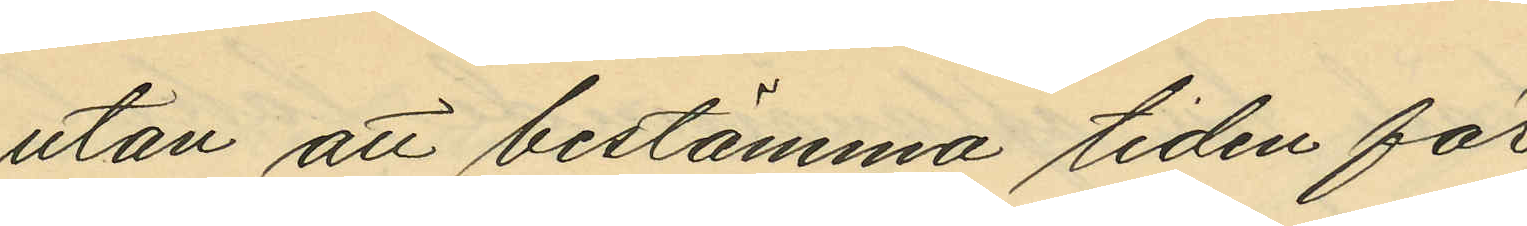utan att bestämma tiden för
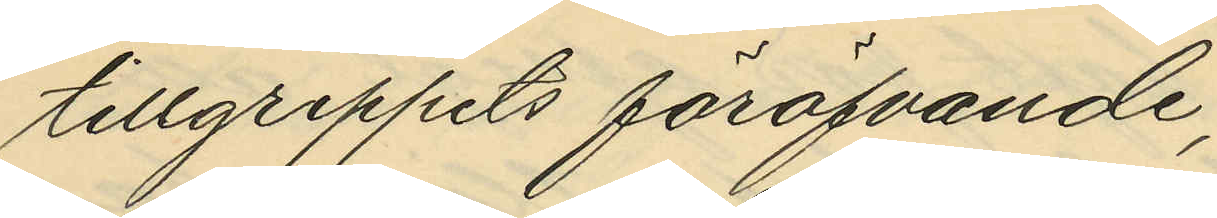tillgreppets föröfvande;
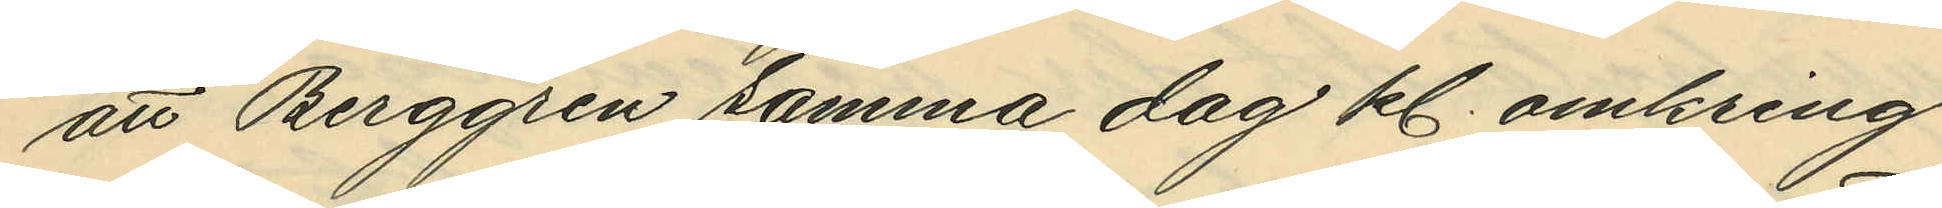att Berggren samma dag kl. omkring
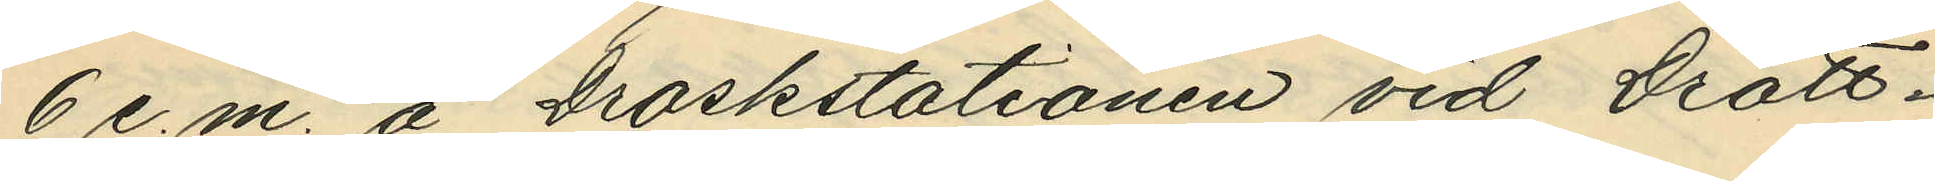6 e.m. å Droskstationen vid Drott¬
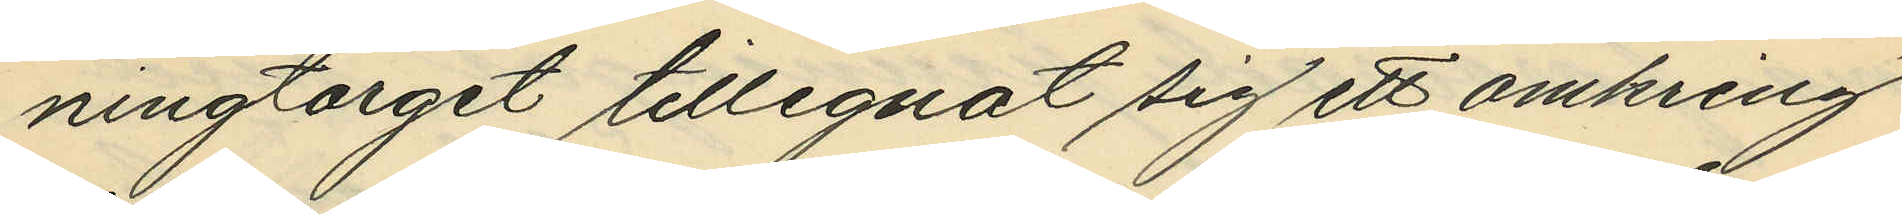ningtorget tillegnat sig ett omkring
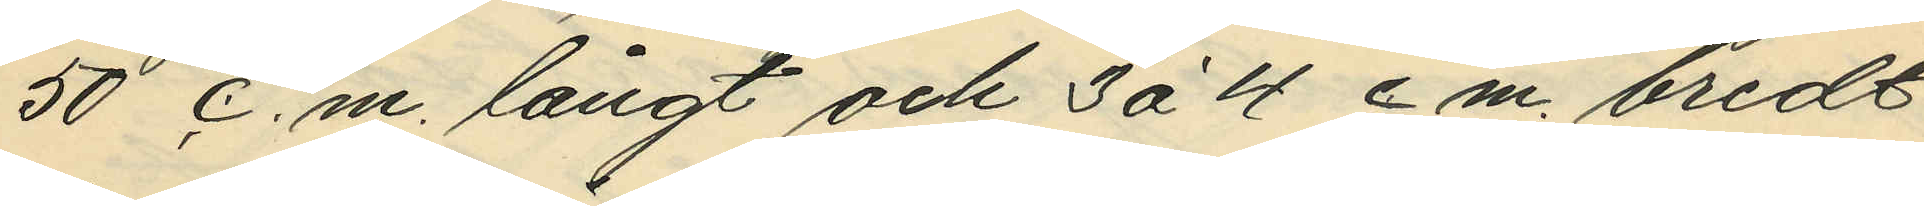50 c.m. långt och 3 à 4 cm. bredt
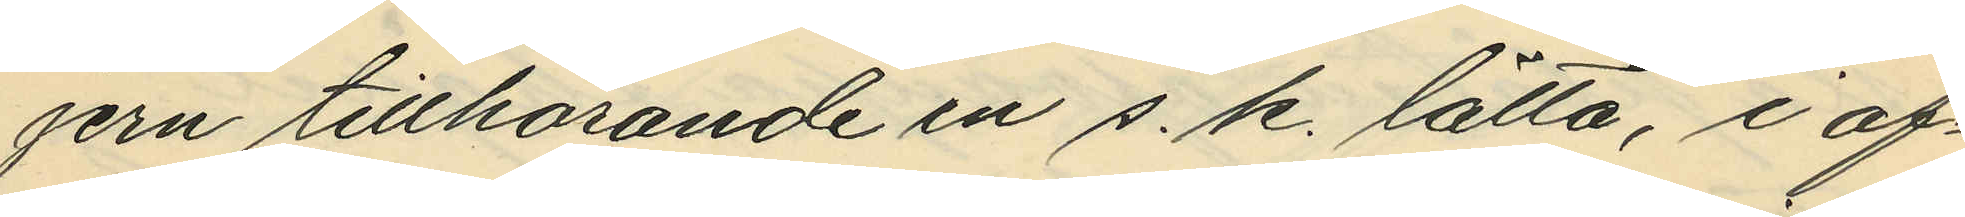jern tillhörande en s.k. lätta, i af¬
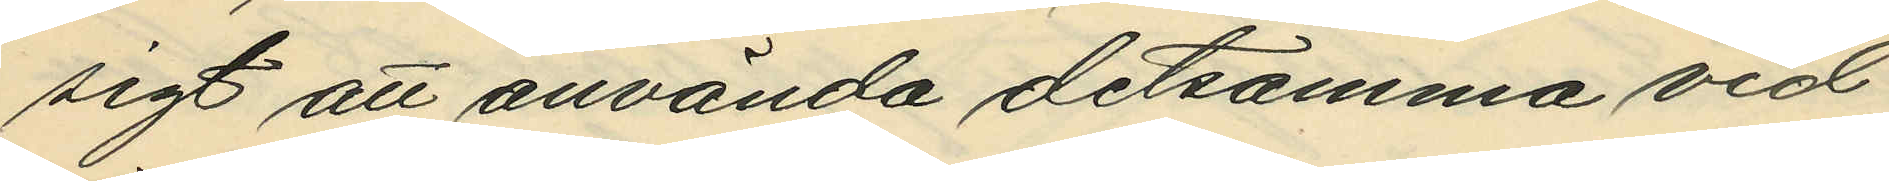sigt att använda detsamma vid
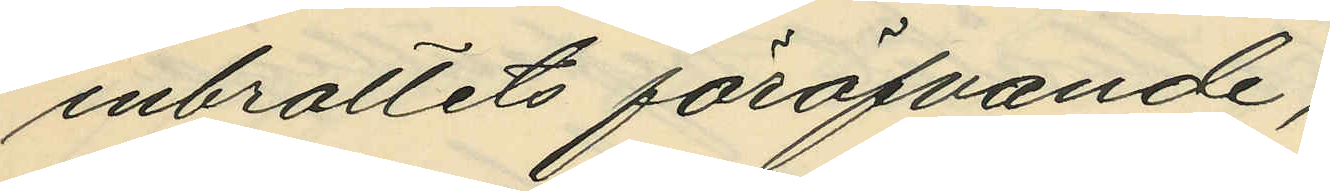inbrottets föröfvande;
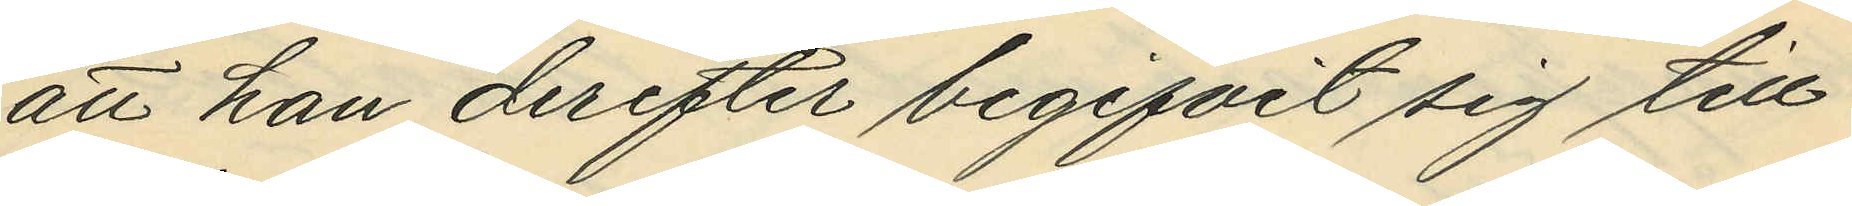att han derefter begifvit sig till
